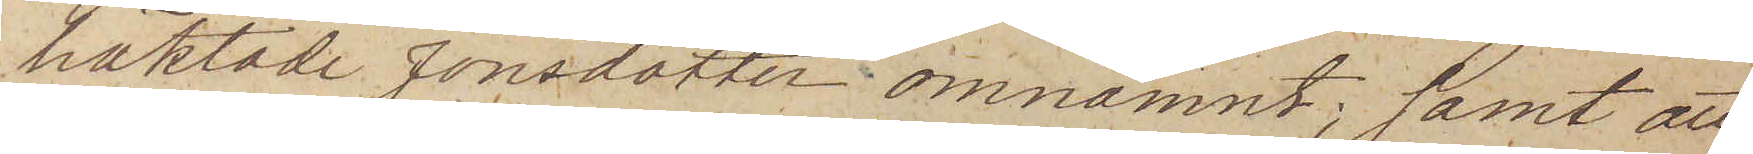häktade Jonsdotter omnämnt; samt att
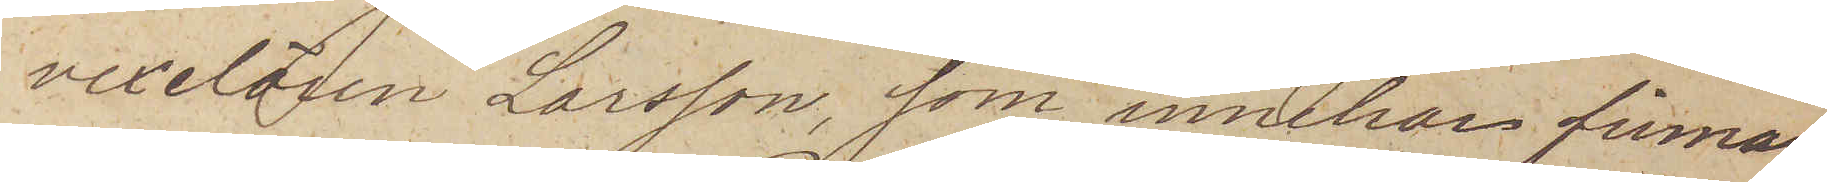vexelären Larsson, som innehar firman
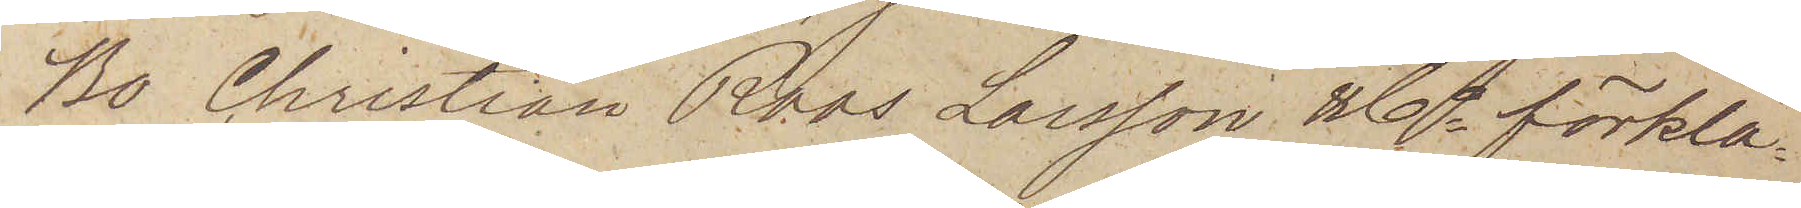Bo Christian Roos Larsson & Co förkla¬
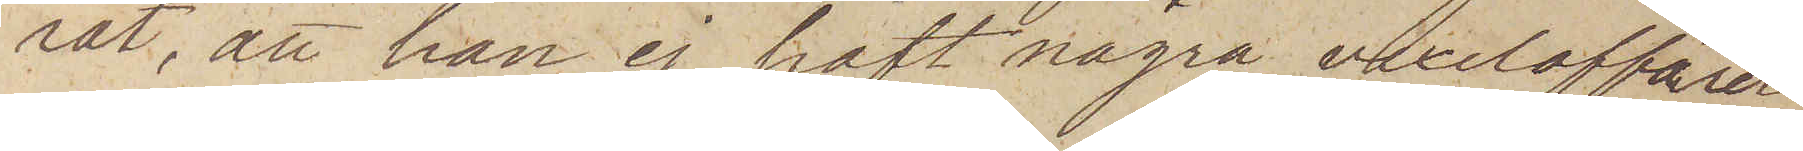rat, att han ej haft några vexelaffärer
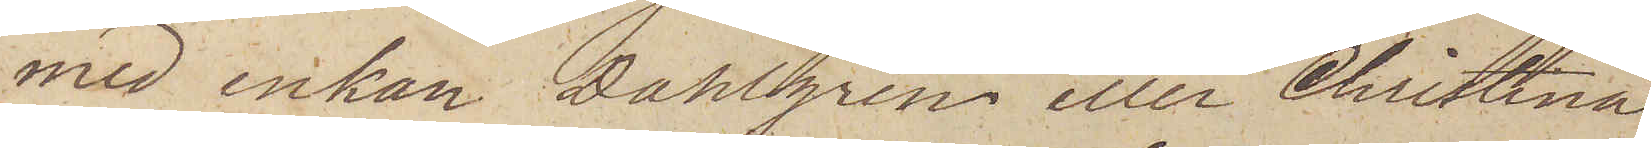med enkan Dahlgren eller Christina
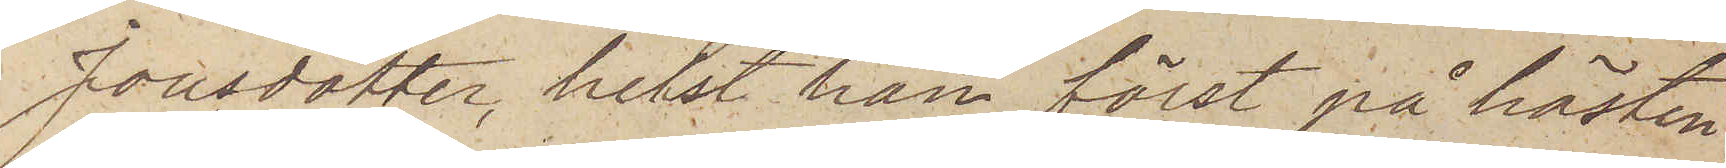Jonsdotter, helst han först på hösten
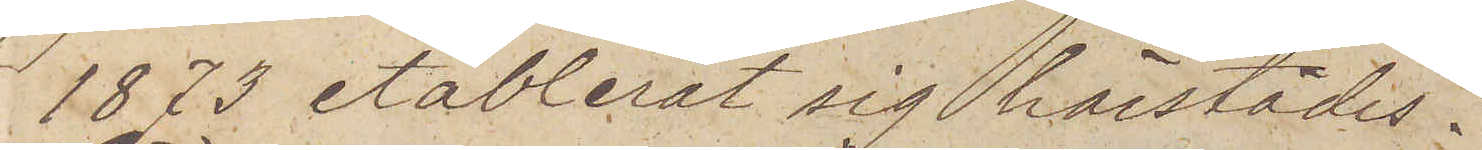1873 etablerat sig härstädes.
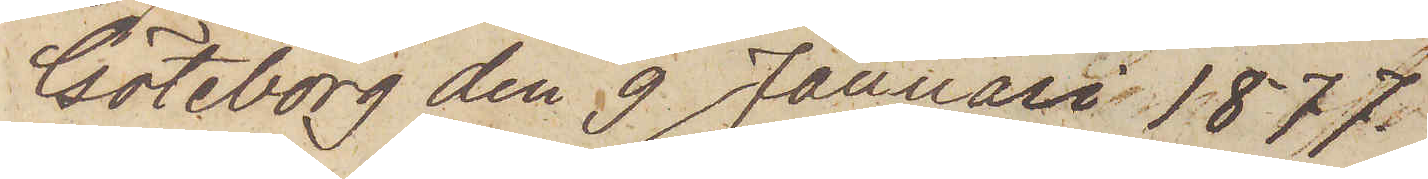Göteborg den 9 Januari 1877.
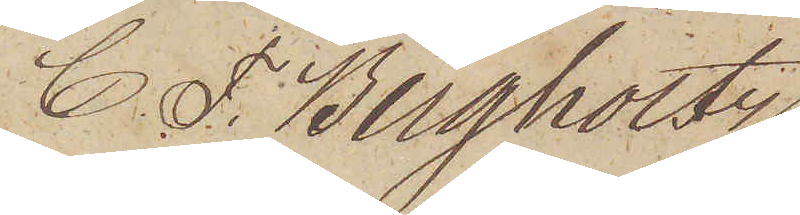C. F. Bergholtz
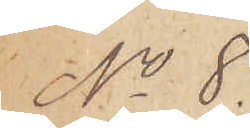No 8.
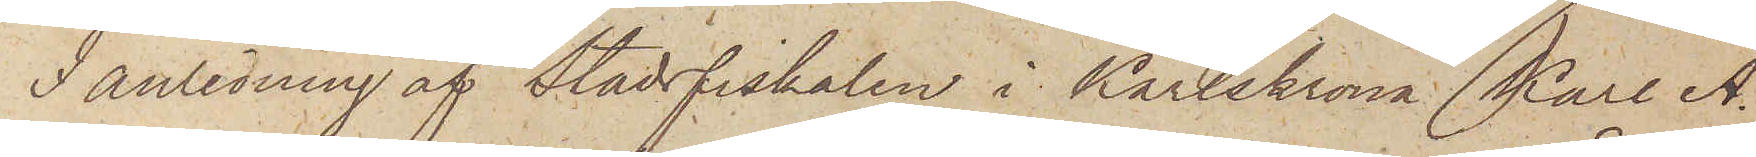I anledning af Stadsfiskalen i Karlskrona Karl A.
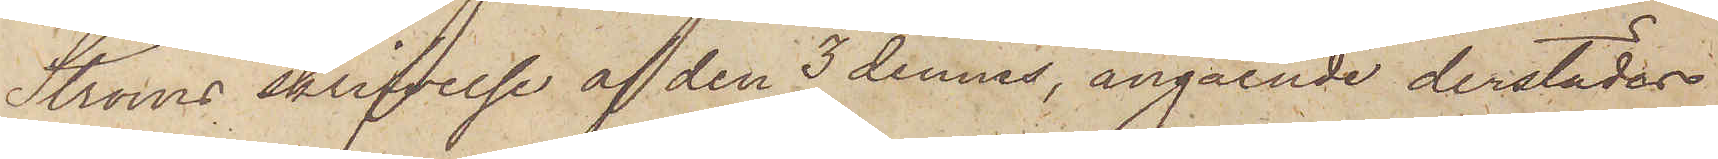Ströms skrifvelse af den 3 dennes, angående derstädes
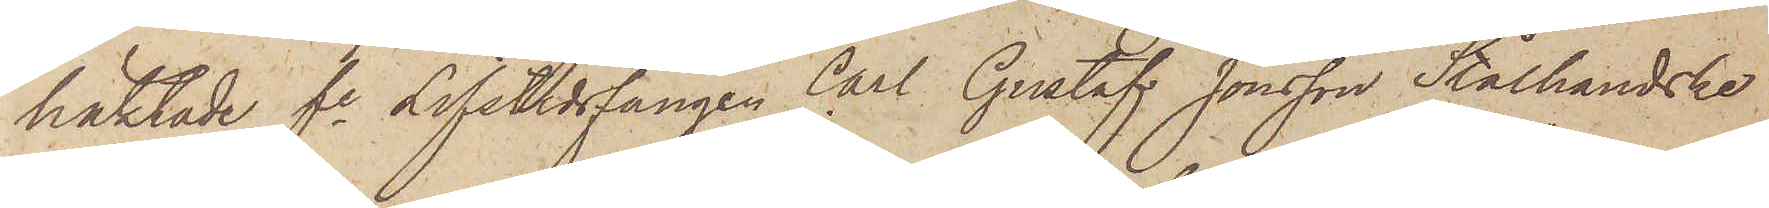häktade fe Lifstidsfången Carl Gustaf Jonsson Stålhandske
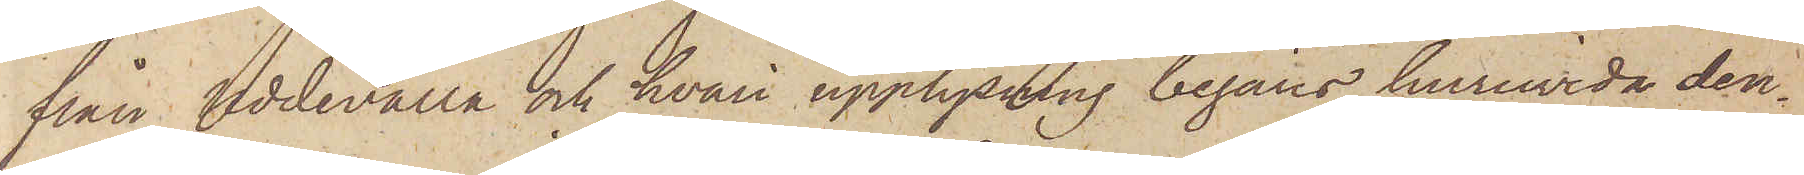från Uddevalla och hvari upplysning begärts huruvida den¬
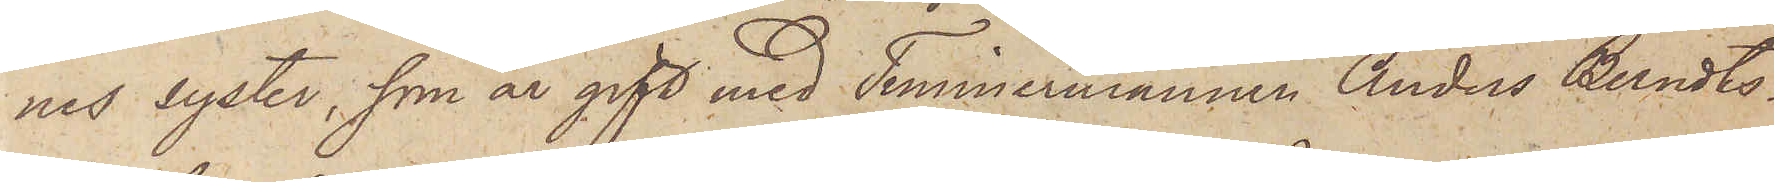nes syster, som är gift med Timmermannen Anders Berndts¬
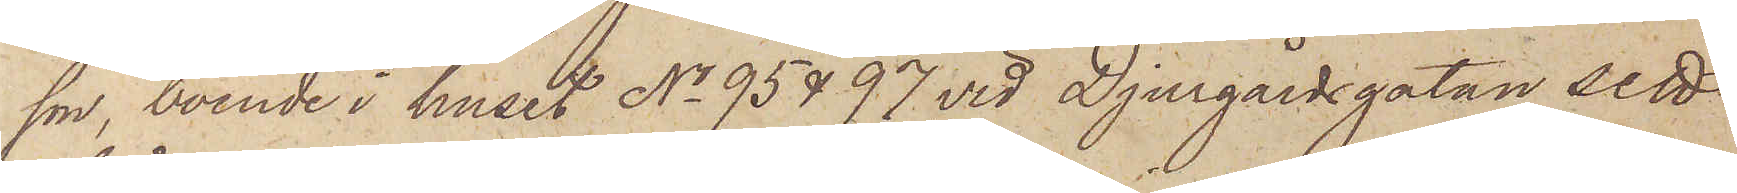son, boende i huset No 95 & 97 vid Djurgårdsgatan sett
